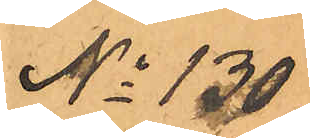No 130.
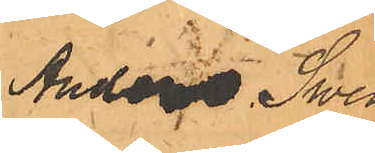Anders Swens¬
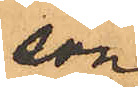son
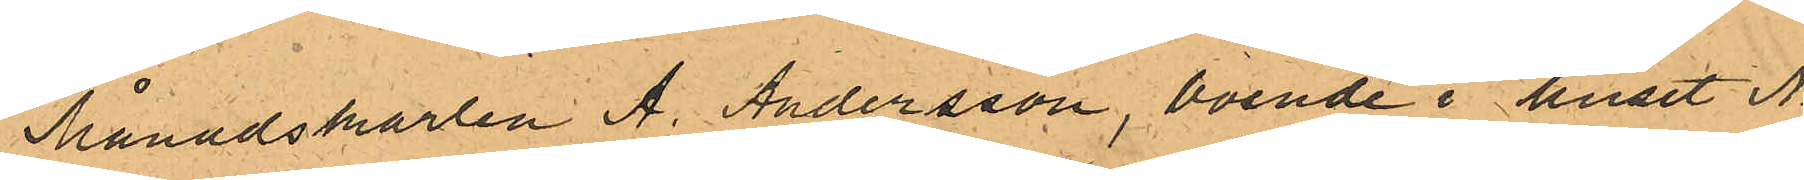Månadskarlen A. Andersson, boende i huset No
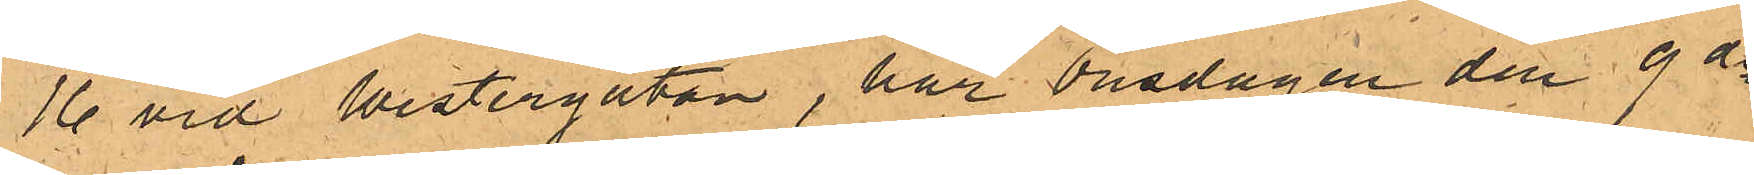16 vid Westergatan, har Onsdagen den 9 ds
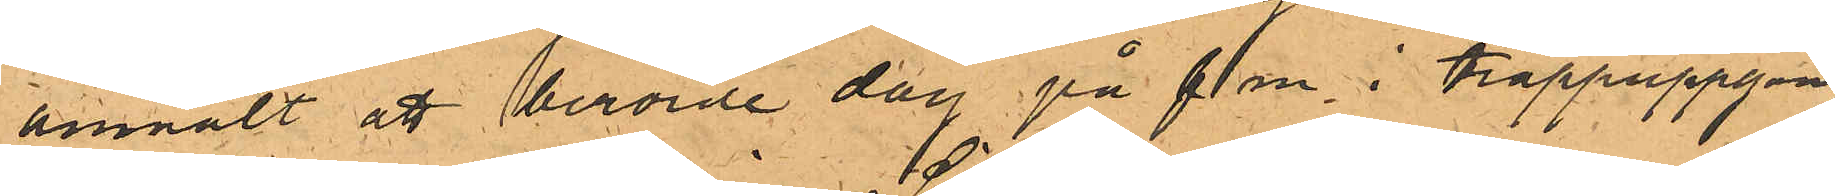anmält att berörde dag på f m i trappuppgång
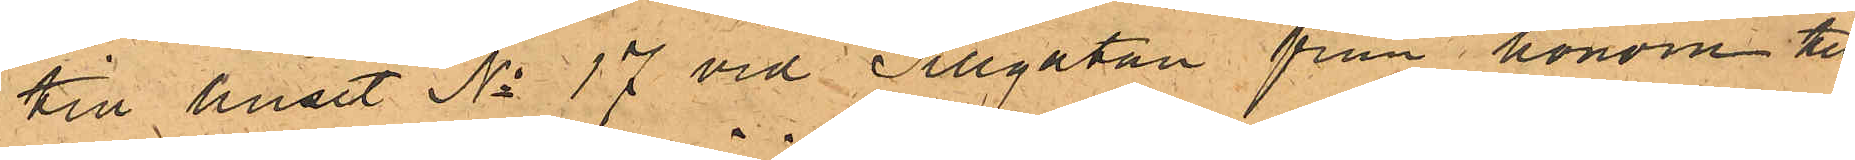till huset No 17 vid Sillgatan från honom till¬
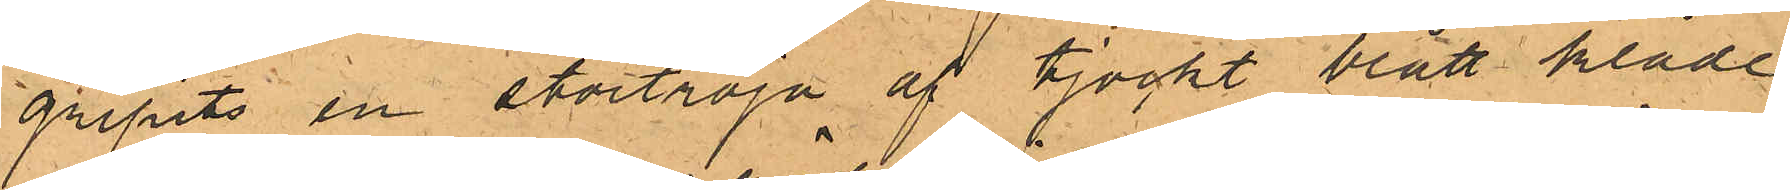gripits en stortröja af tjockt blått kläde
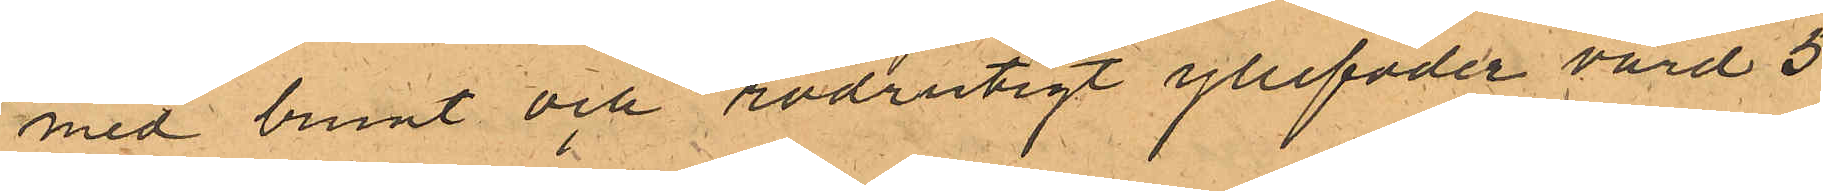med brunt och rödrutigt yllefoder värd 5
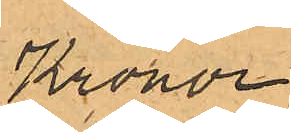Kronor.
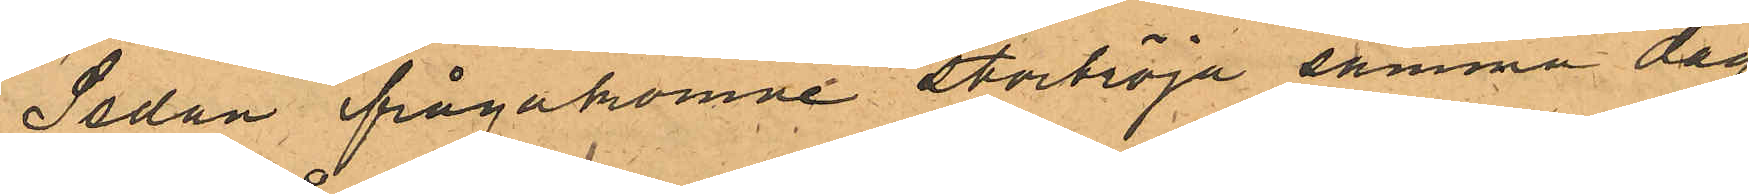Sedan ifrågakomne stortröja samma dag
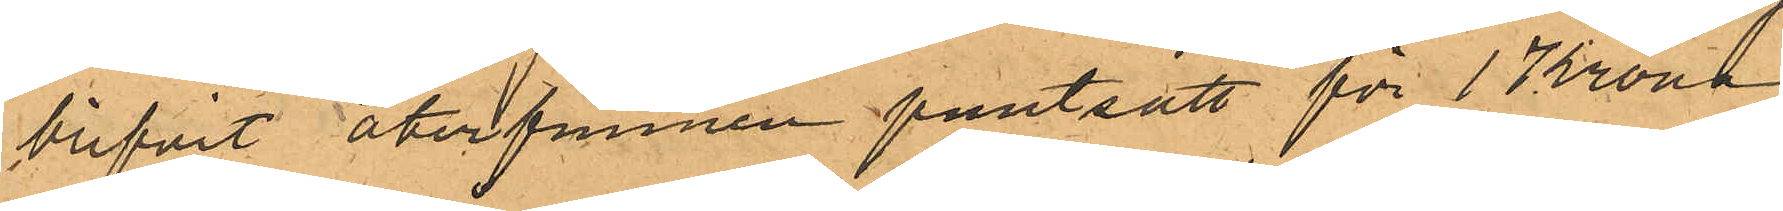blifvit återfunnen pantsatt för 1 Krona
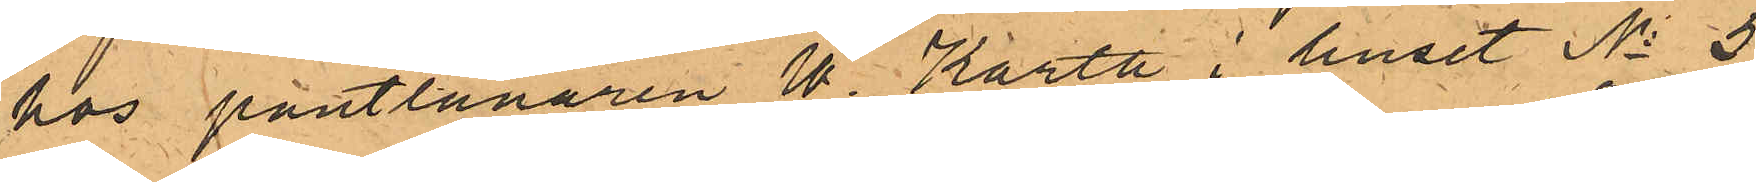hos pantlånaren W. Karth i huset No 5
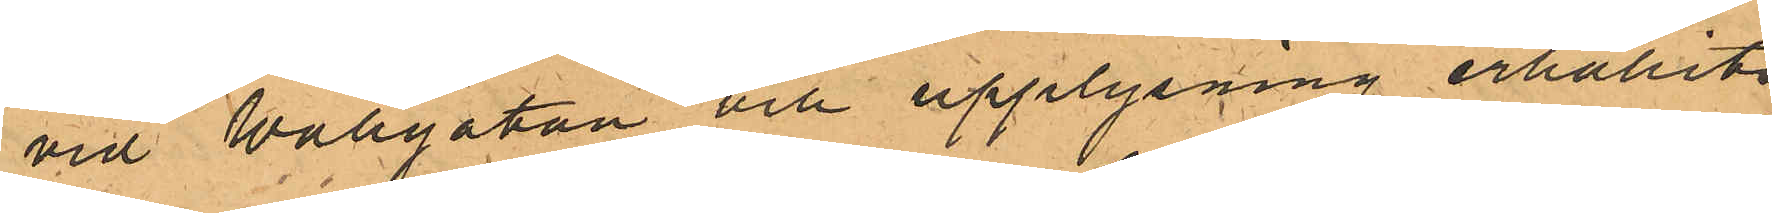vid Wallgatan och upplysning erhållits
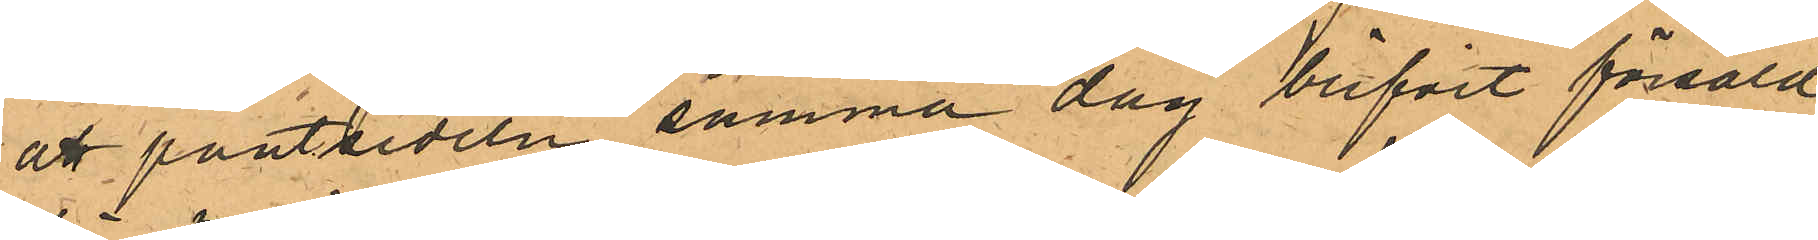att pantsedeln samma dag blifvit försåld
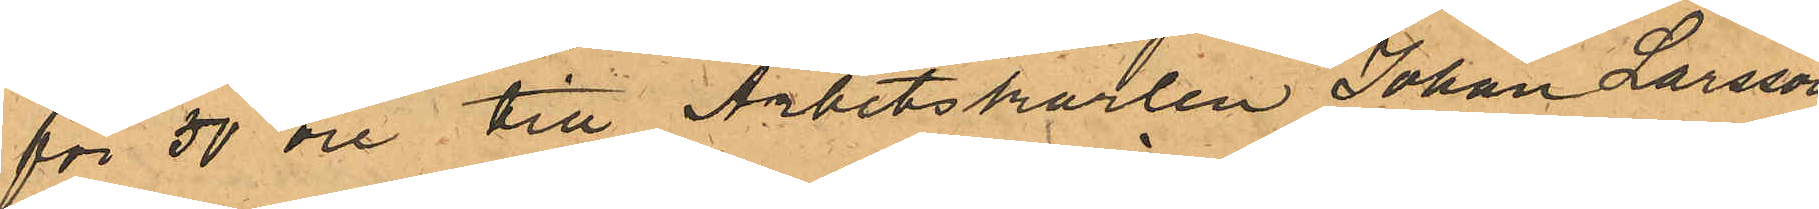för 50 öre till Arbetskarlen Johan Larsson,
